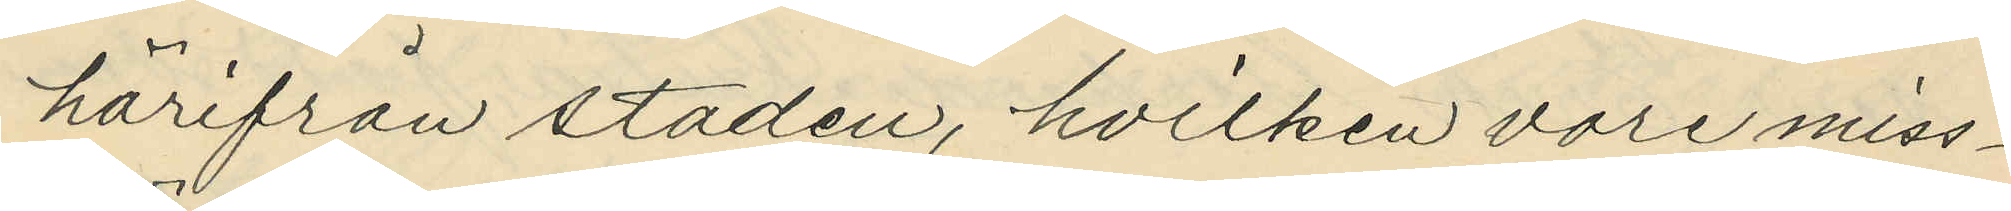härifrån staden, hvilken vore miss¬
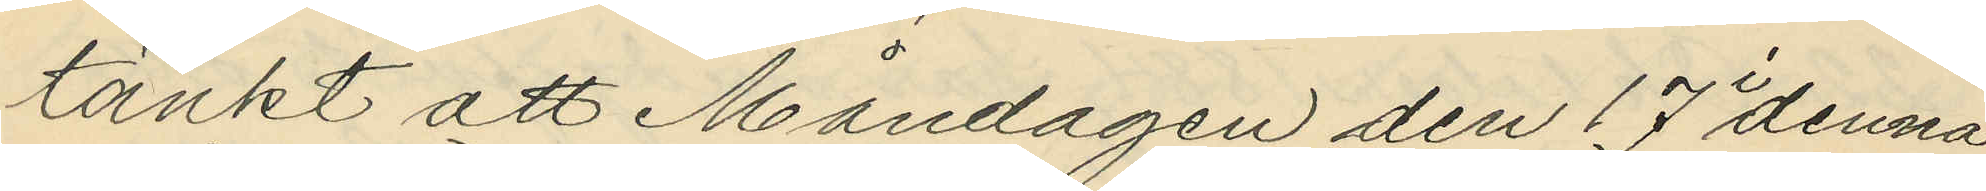tänkt att Måndagen den 17 i denna
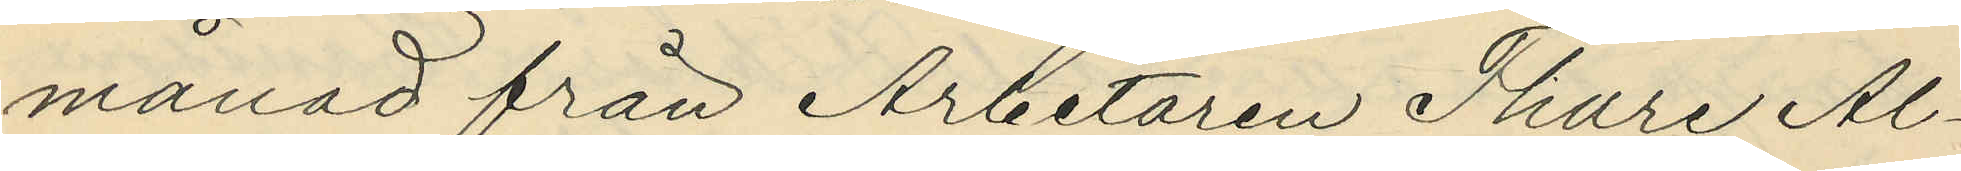månad från Arbetaren Thure Al¬
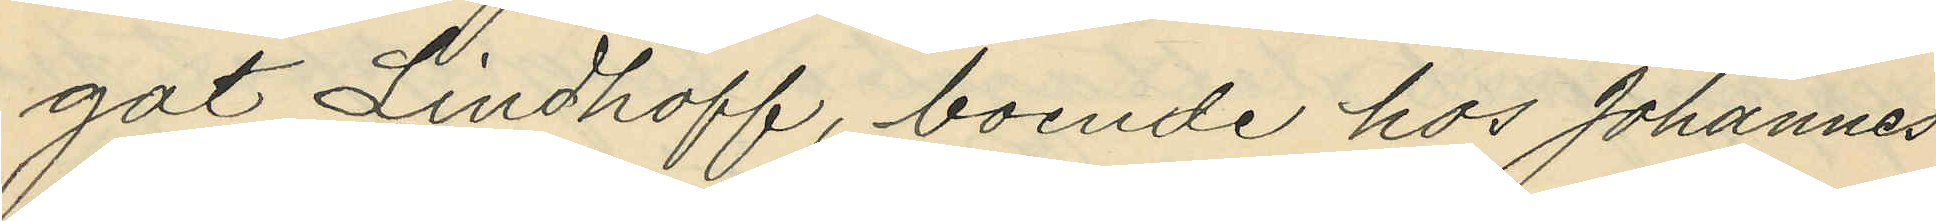got Lindhoff, boende hos Johannes
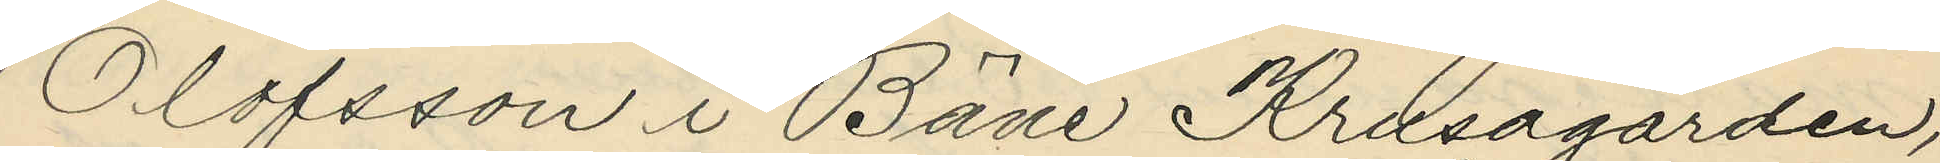Olofsson i Bäne Krusagården,
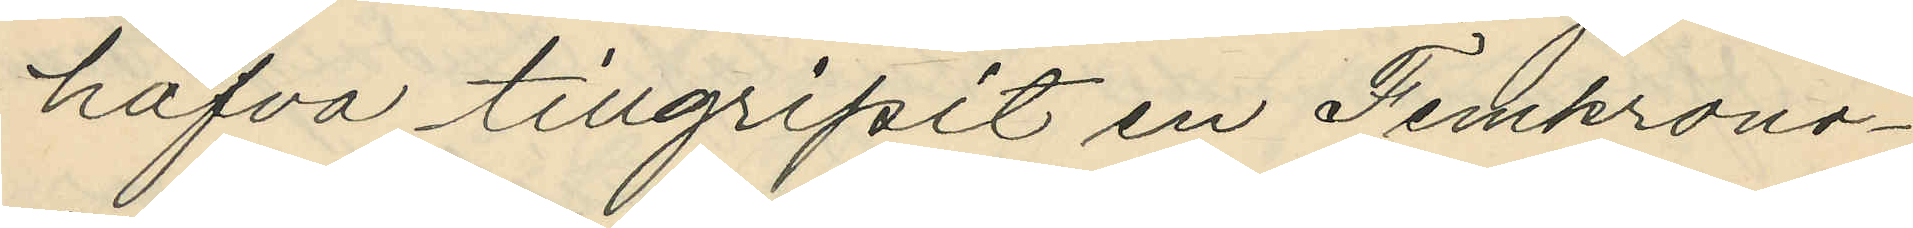hafva tillgripit en Femkrono¬
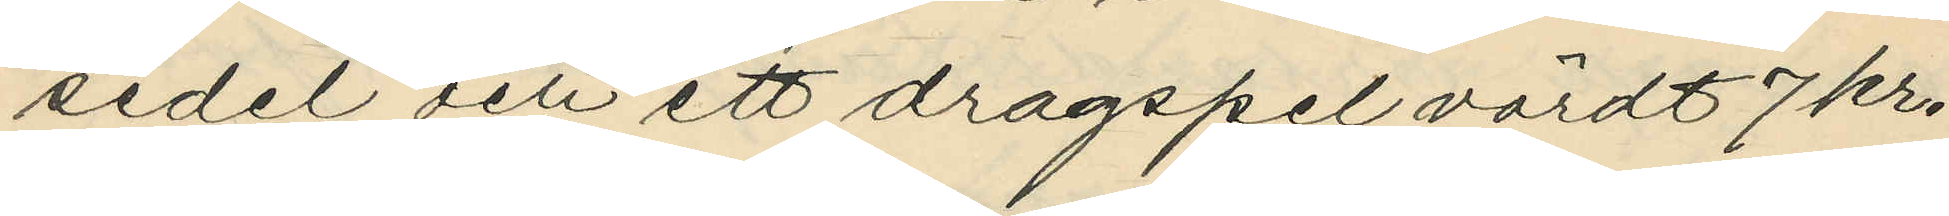sedel och ett dragspel värdt 7 kr,
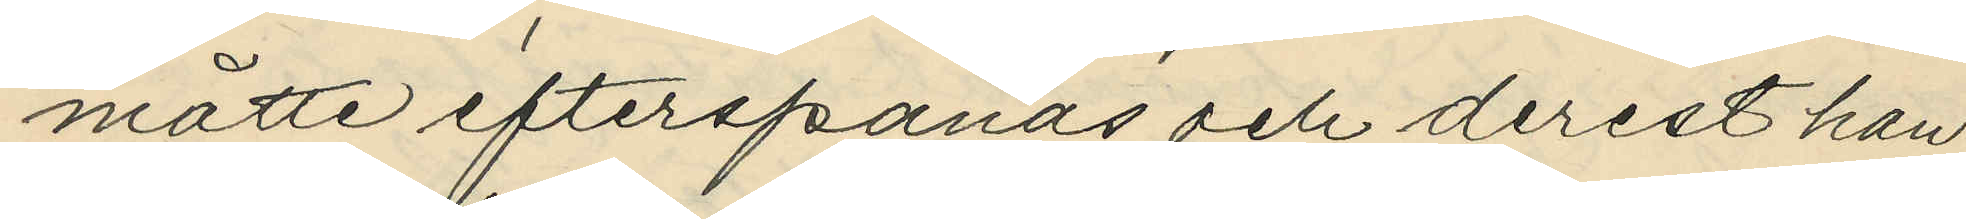måtte efterspanas och derest han
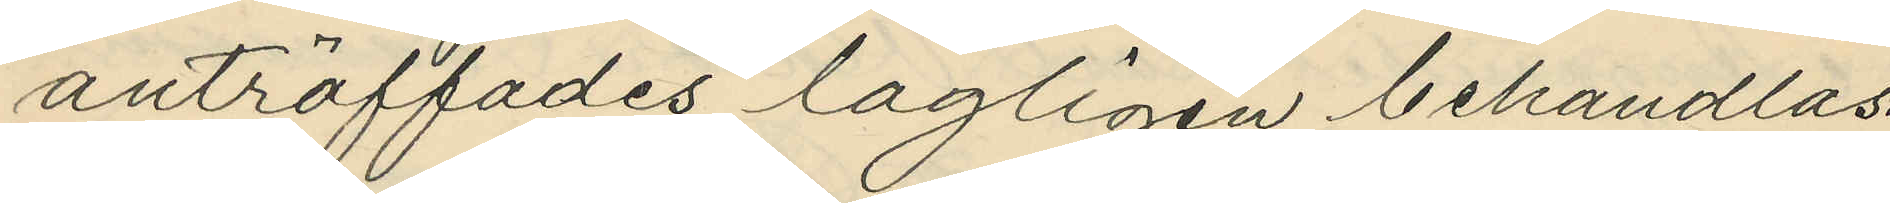anträffades lagligen behandlas.
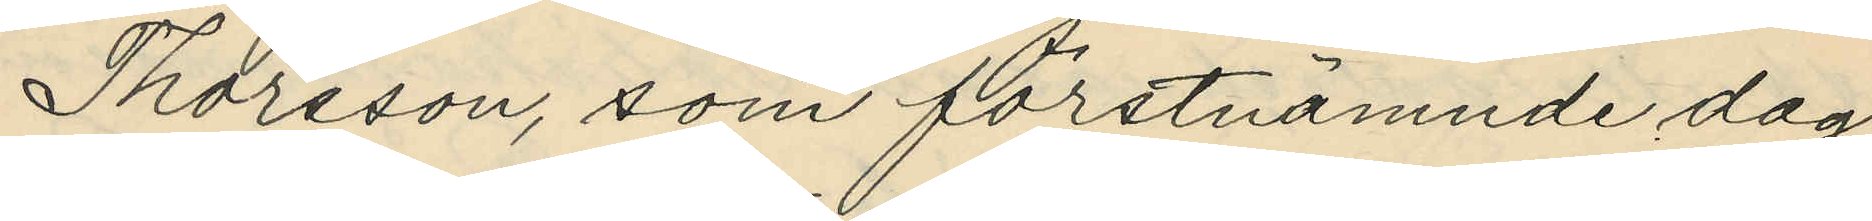Thorsson, som förstnämnde dag
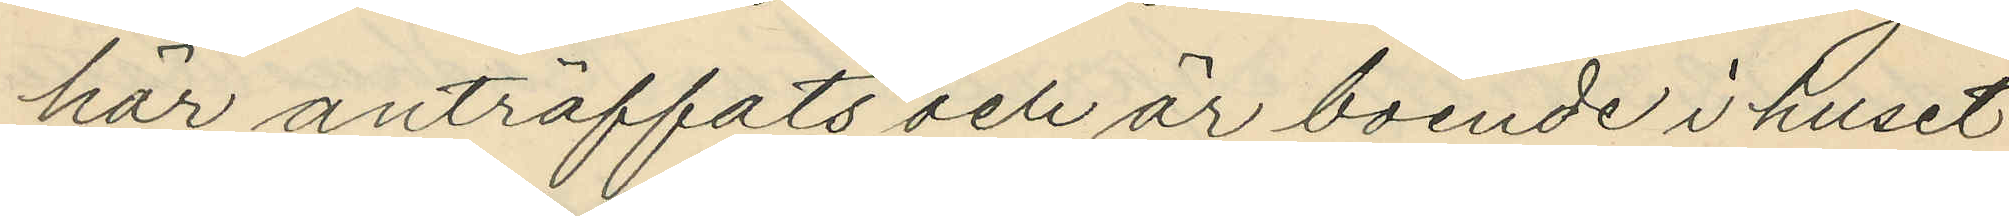här anträffats och är boende i huset
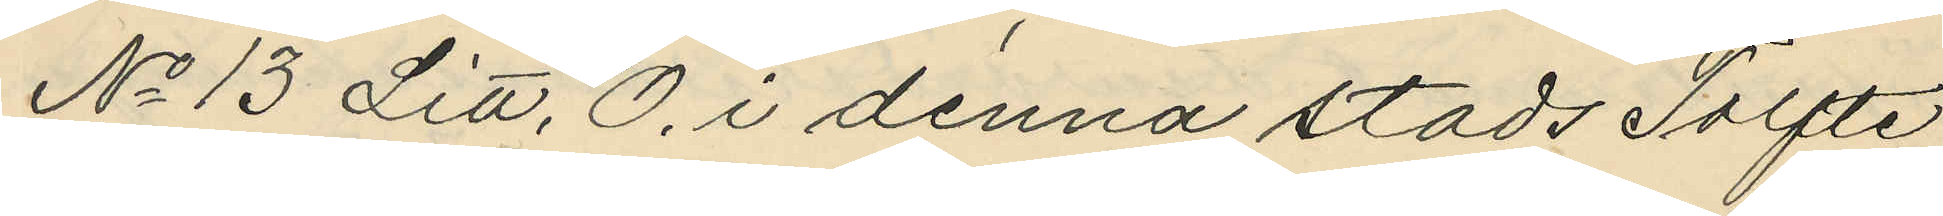No 13 Litt. O. i denna stads Tolfte
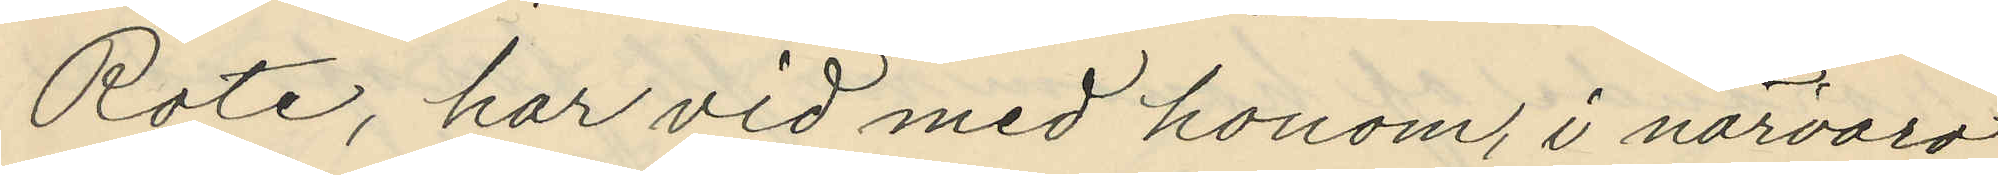Rote, har vid med honom, i närvaro
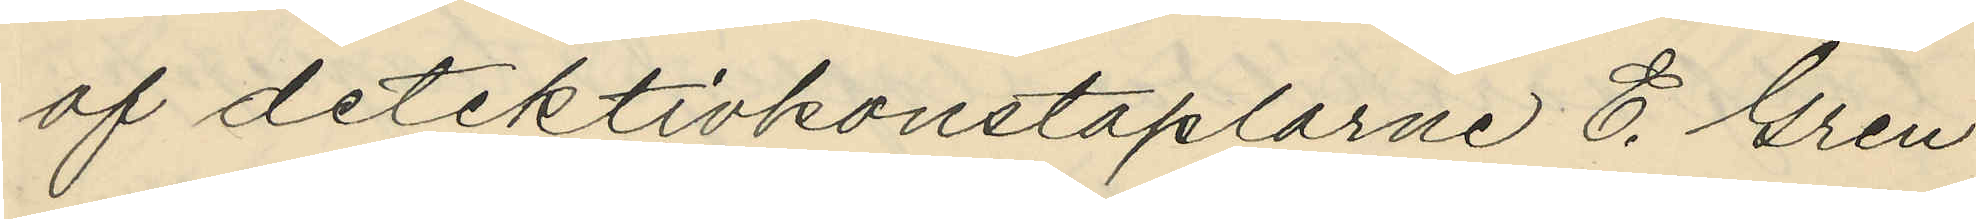af detektivkonstaplarne E. Gren
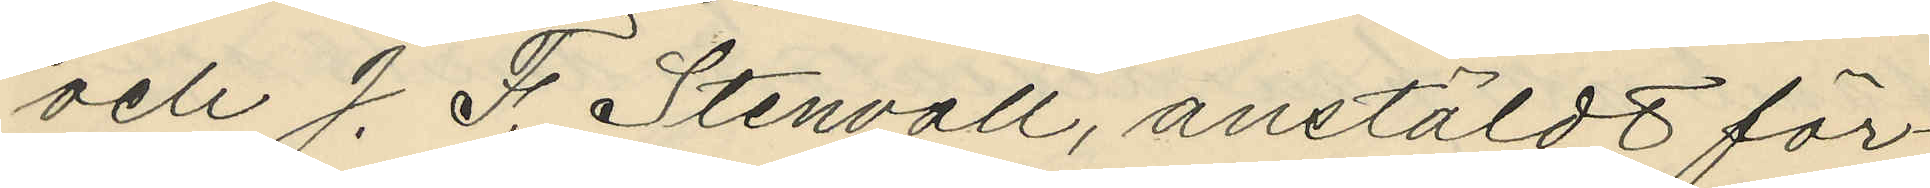och J. F. Stenvall, anstäldt för¬
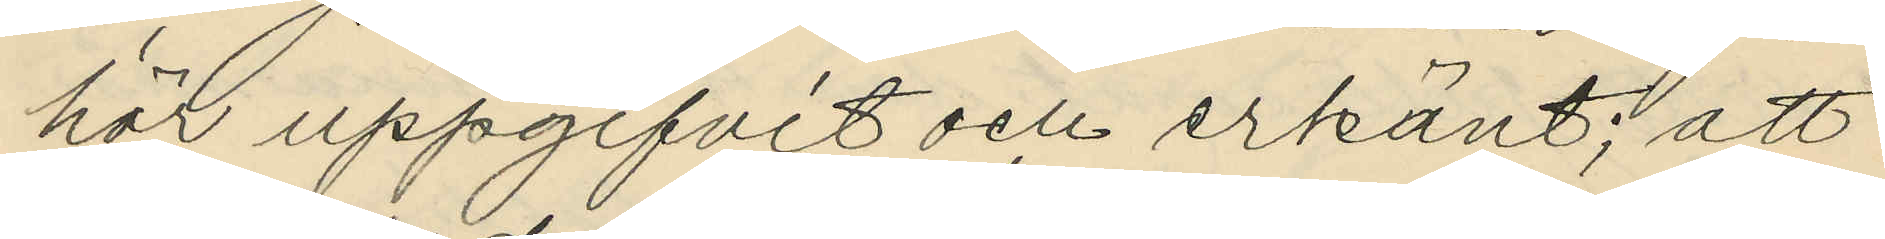hör uppgifvit och erkänt; att
